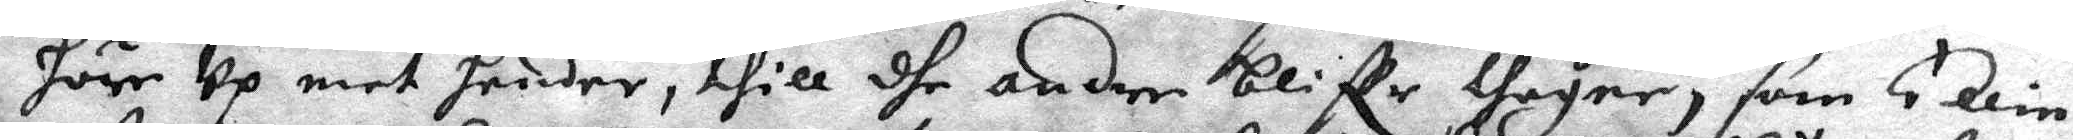höre Up mot hender, thill dhe andre bliffe thagne, som Ellin
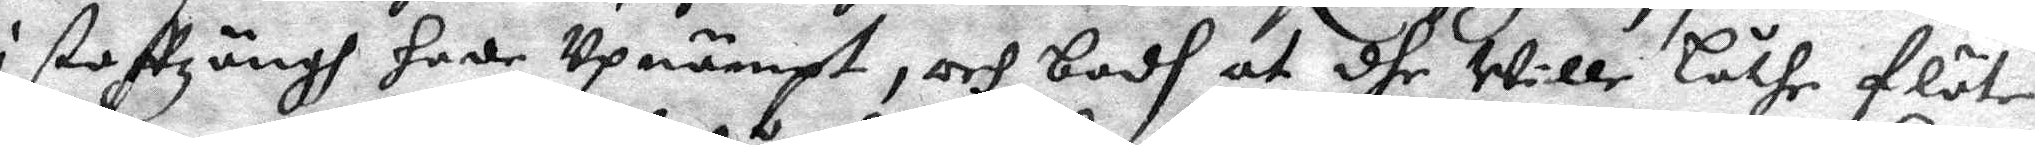i staffzängh hade Upnämpt, och bodh at dhe Wille låthe flöte
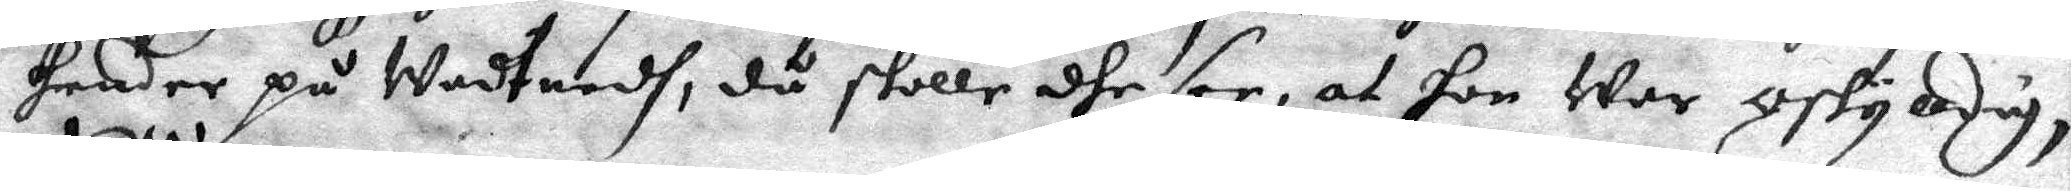hender på Wadtnedh, då skolle dhe see, at hon war oskyldig,
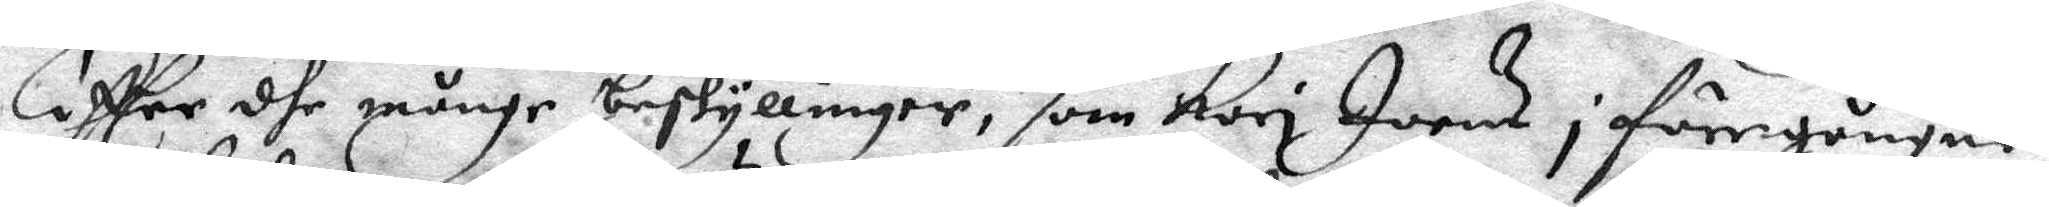Effter dhe månge beskyllinger, som Kari Joens i föregångne
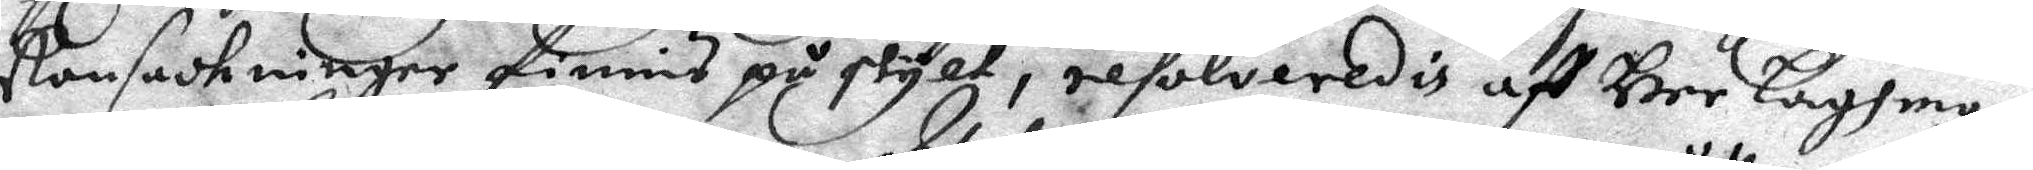Ransackninger finnis på skylt, resolveredes aff Her Laghman¬
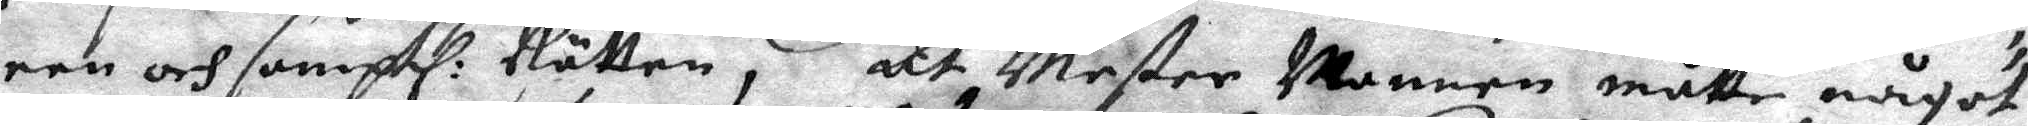een och samptl. Rätten, at Mester Mannen måtte något 
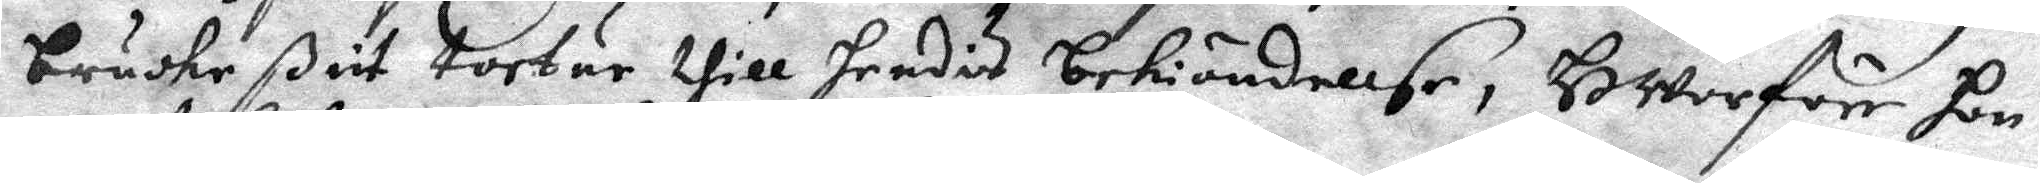bruche ßit tortur thill hendes bekiändellse, Hwerföre hon
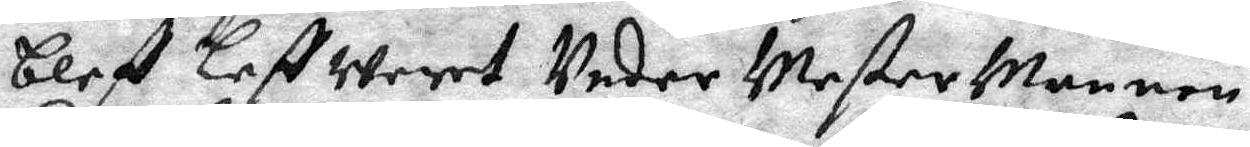bleff Leff weret Under Mester Mannen,
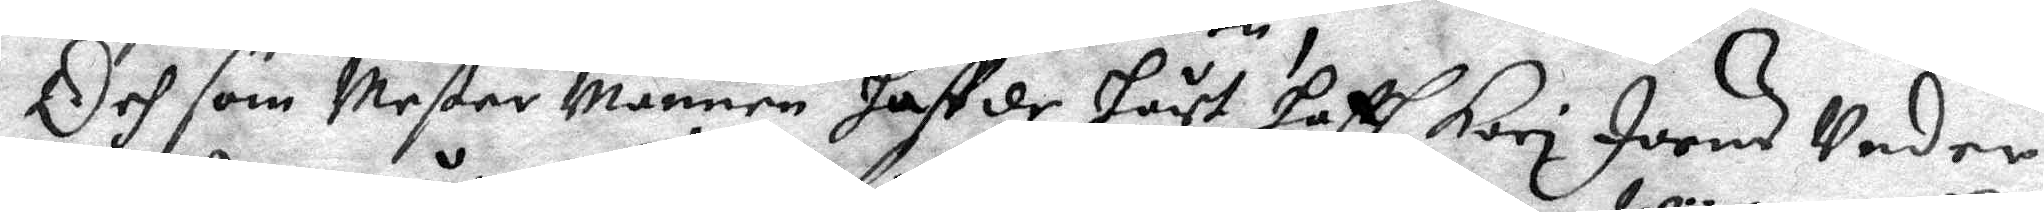Och som Mester Mannen haffde hört hafft Kari Joens Under
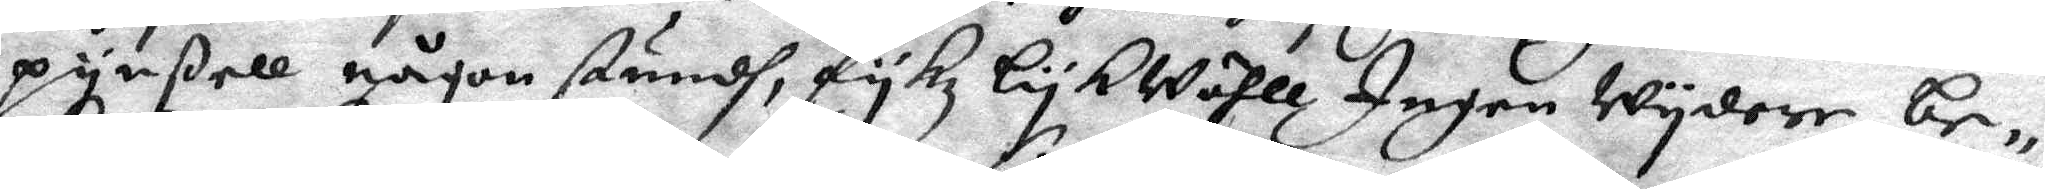pynßell någon stundh, fykz Lykwähll Ingen Wydare be¬
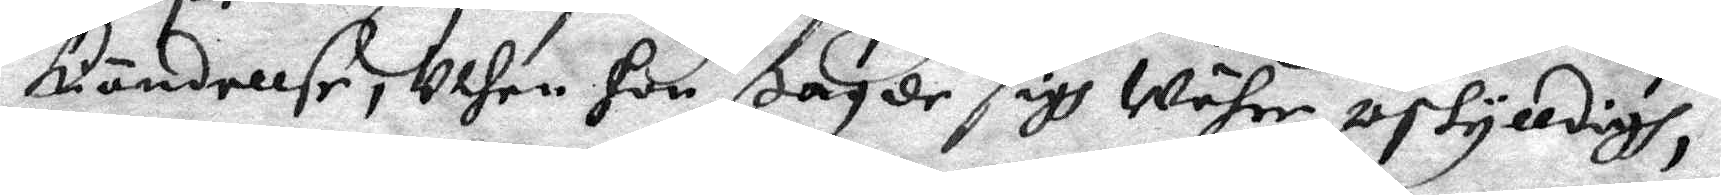kändellse, uthan hon sagde sigh Währe oskylldigh,
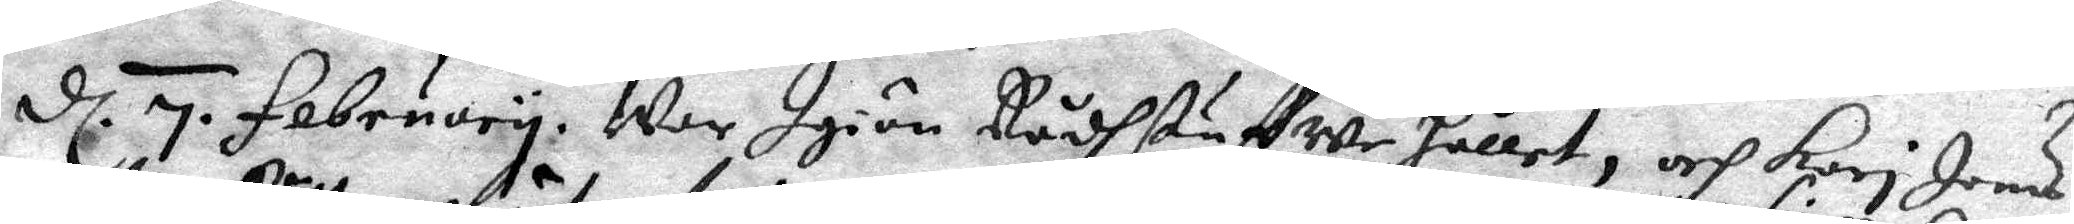d. 7 fabruary, War Igiän Rådhstuffwe hållet, och Kari Joens 
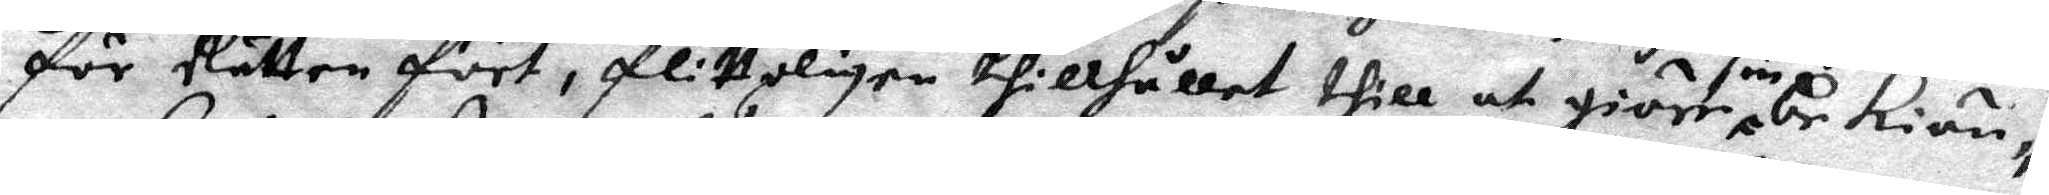för Rätten fört, flitteligen tillhållet thill at giöra sin be kiän¬
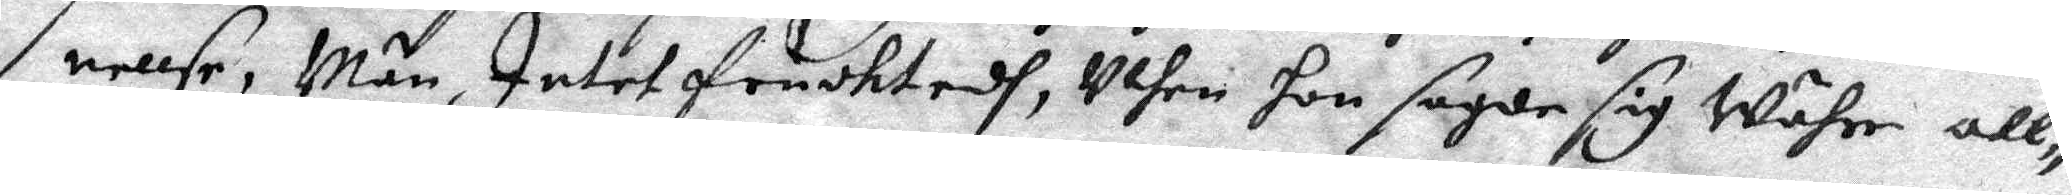nellse, Män Intet fruchtedh, Uthan hon sagde sig Währe all¬
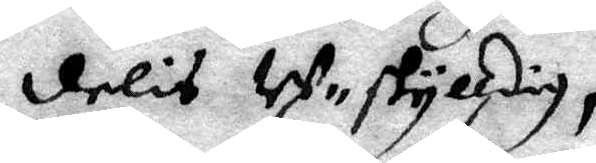delis Uskylldig,
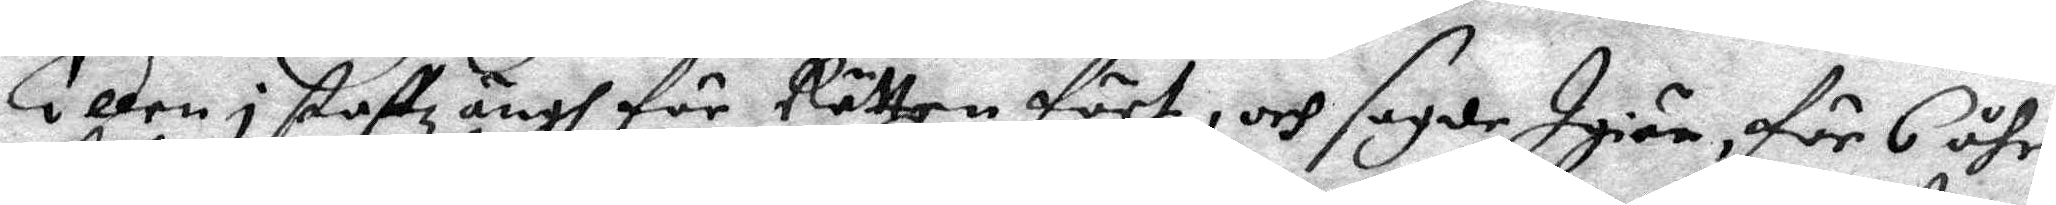 Ellen i staftzängh för Rätten fört, och sagde Igiän, för 6 åhr
